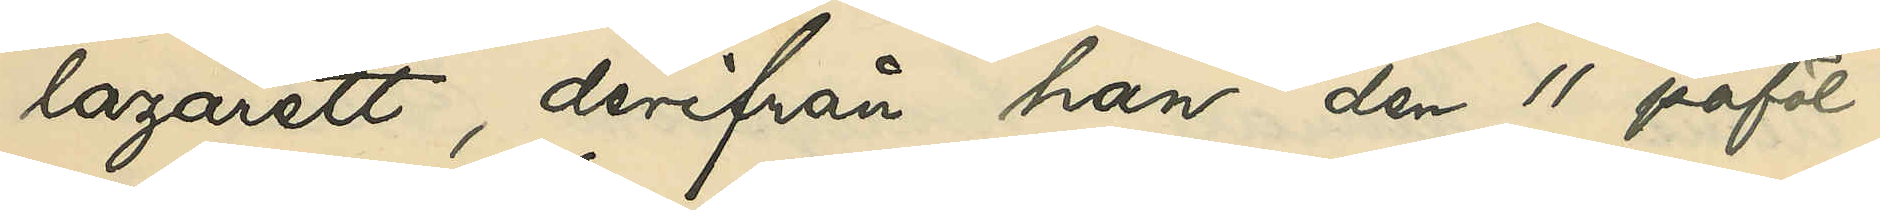lazarett, derifrån han den 11 påföl¬
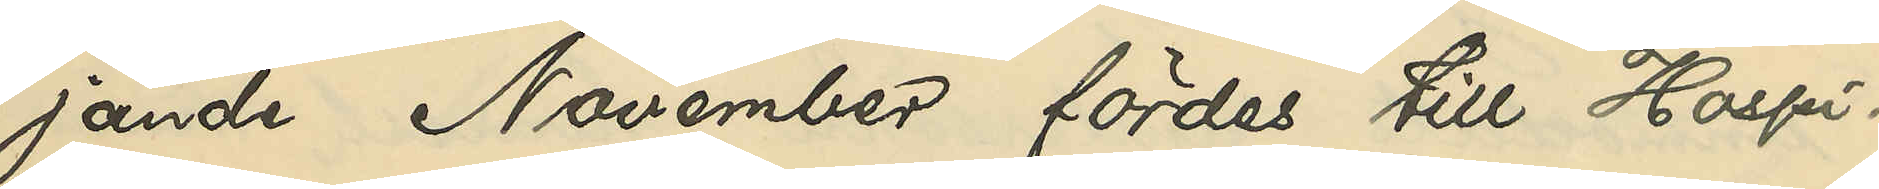jande November fördes till Hospi¬
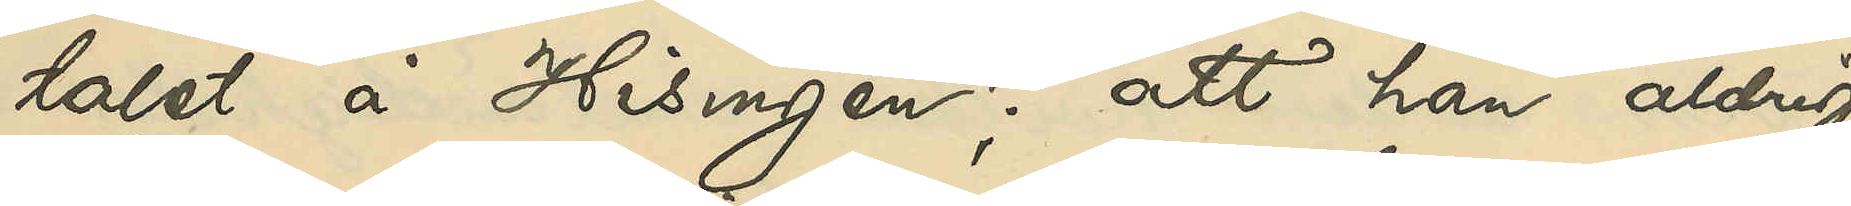talet å Hisingen; att han aldrig
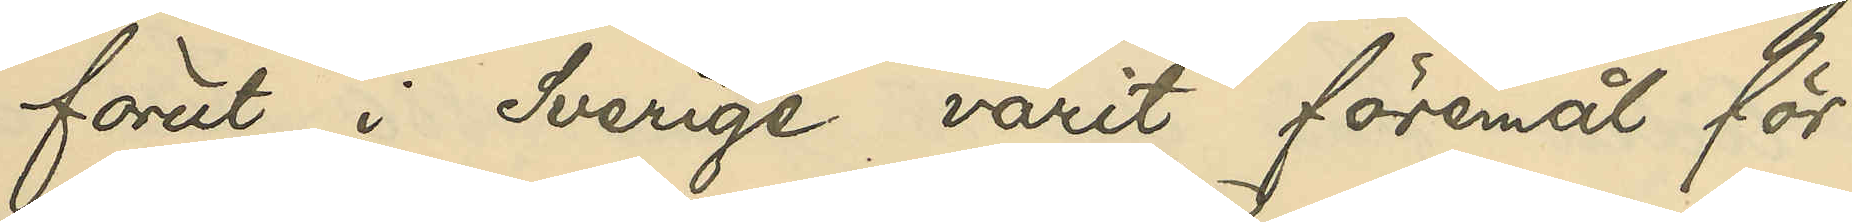förut i Sverige varit föremål för
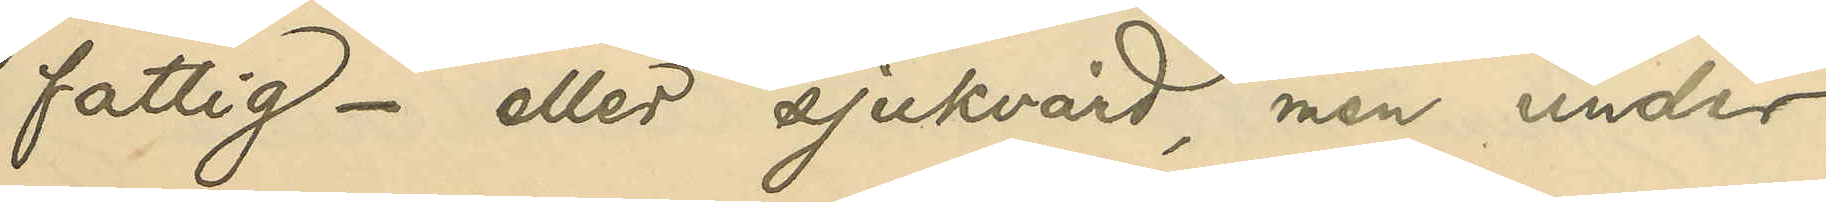fattig- eller sjukvård, men under
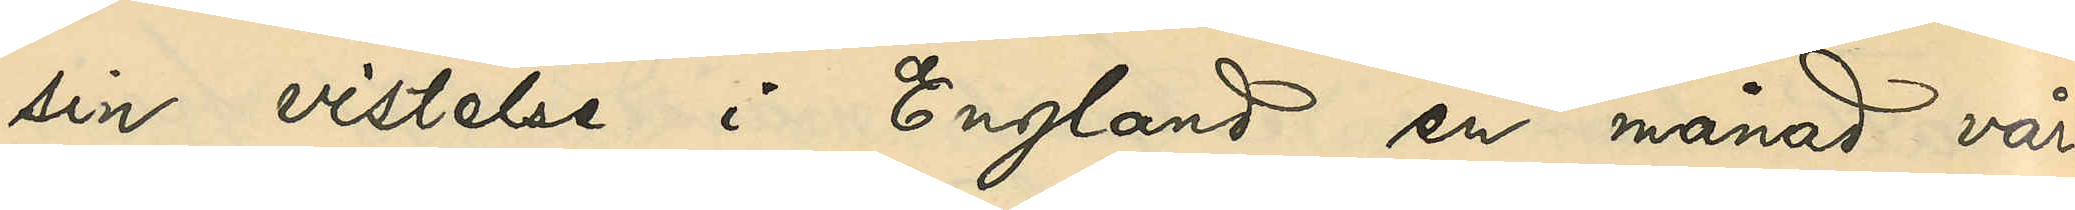sin vistelse i England en månad vår¬
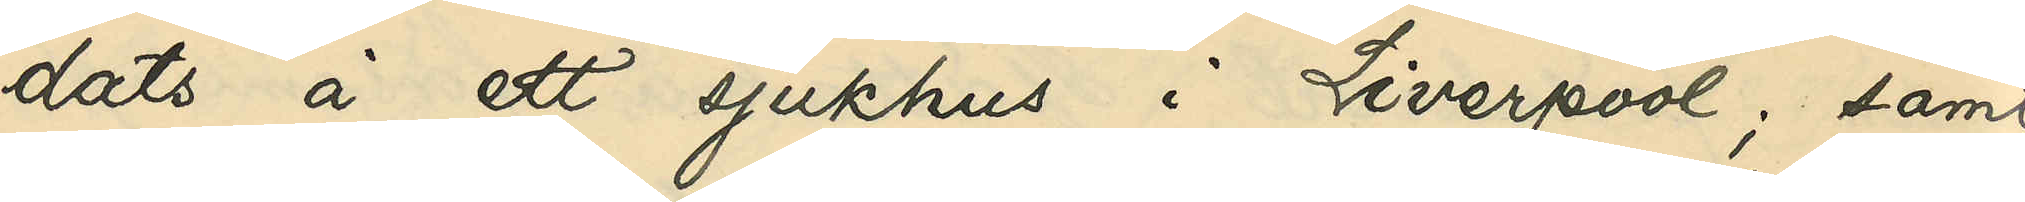dats å ett sjukhus i Liverpool; samt
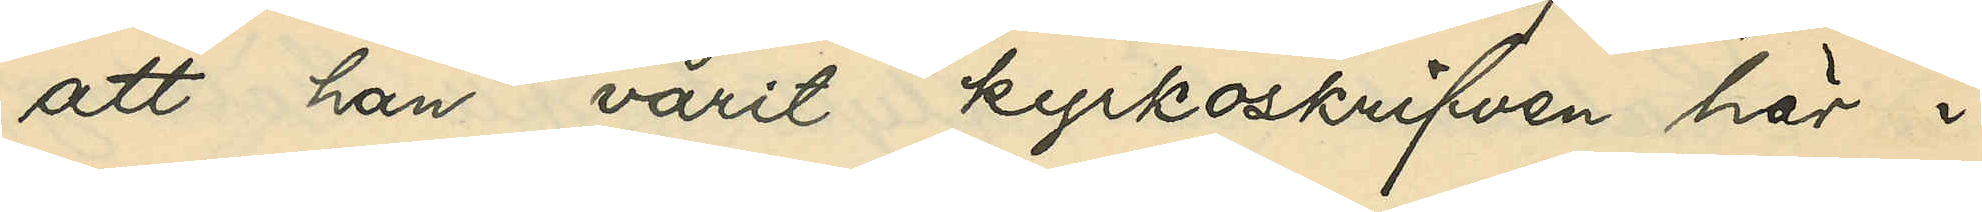att han varit kyrkoskrifven här i
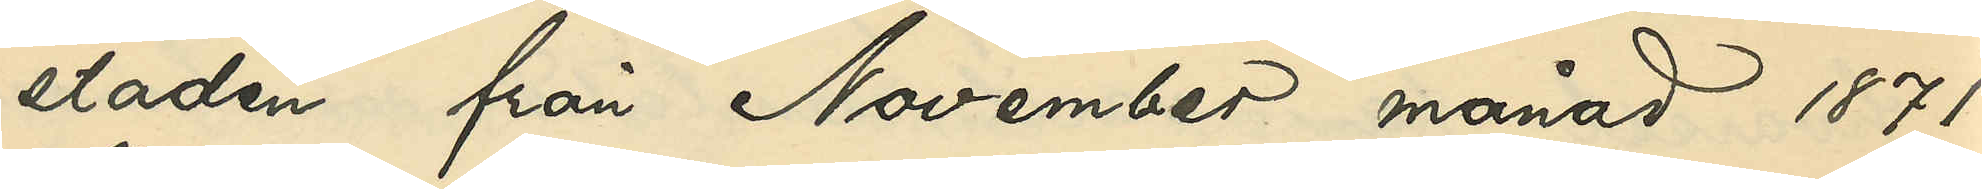staden från November månad 1871
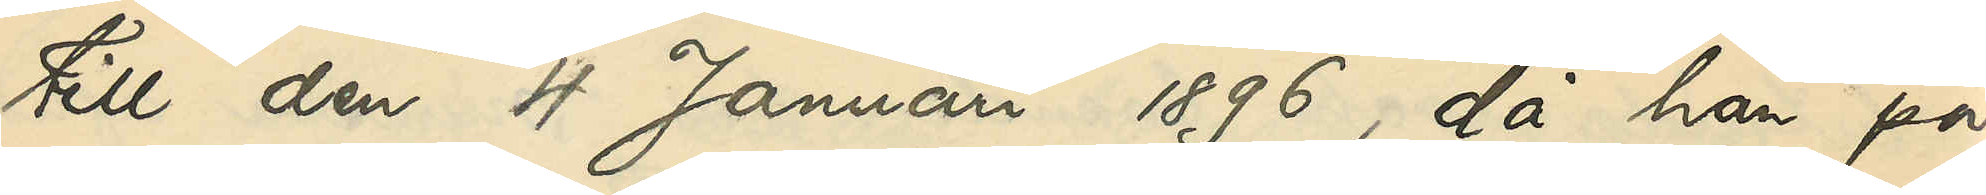till den 4 Januari 1896, då han på
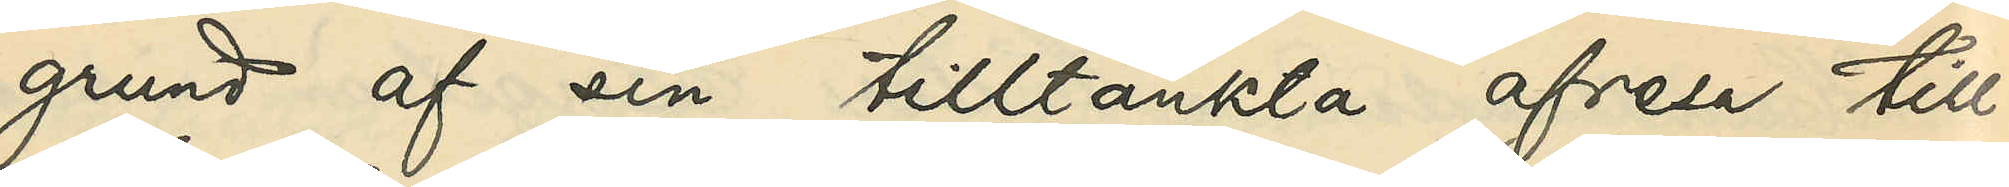gund af sin tilltänkta afresa till
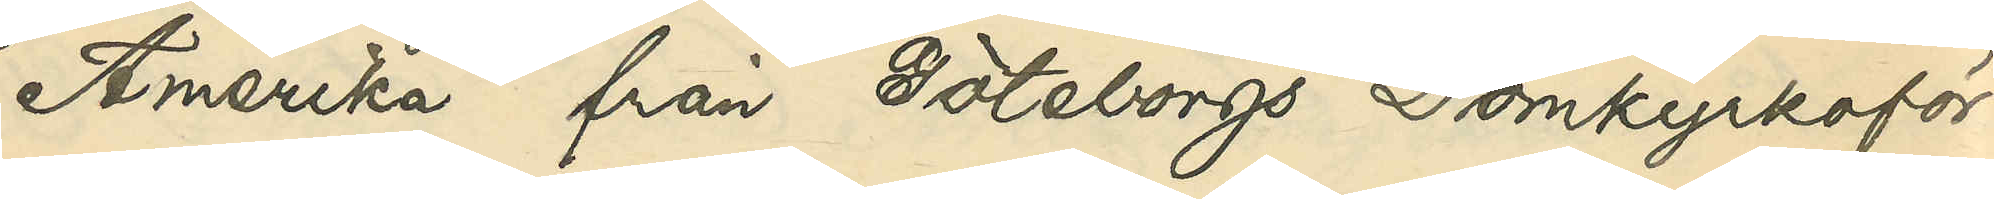Amerika från Göteborgs Domkyrkoför¬
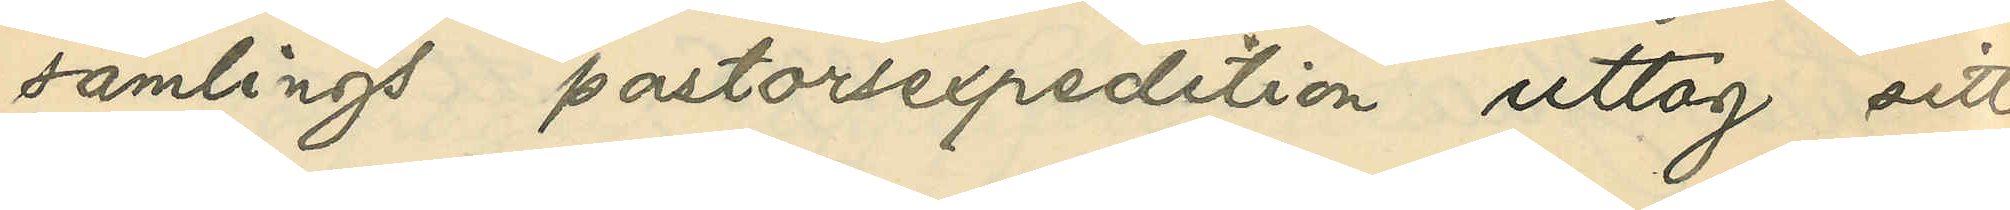samlings pastorsexpedition uttog sitt
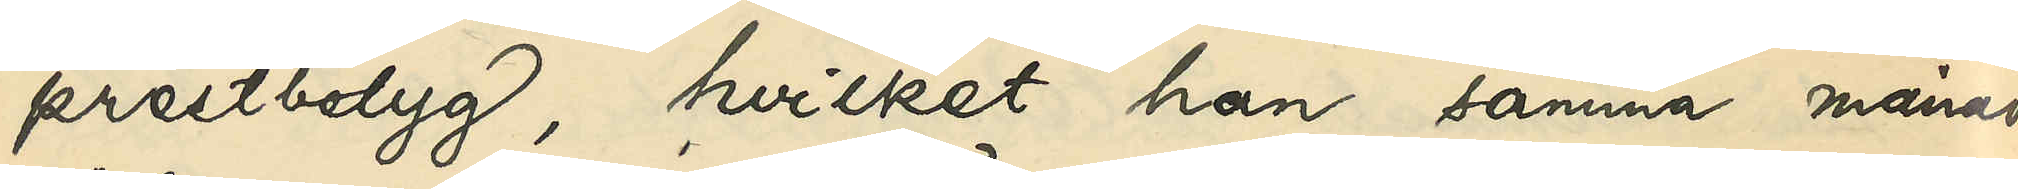prestbetyg, hvilket han samma månad
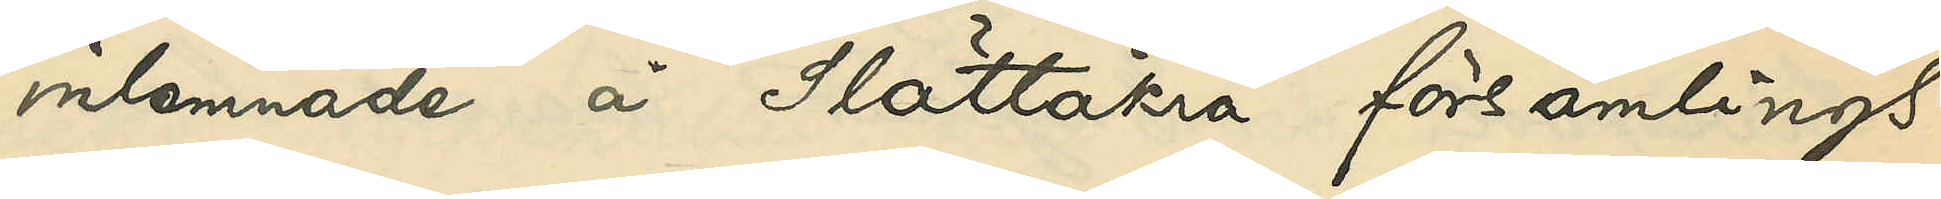inlemnade å Slättåkra församling
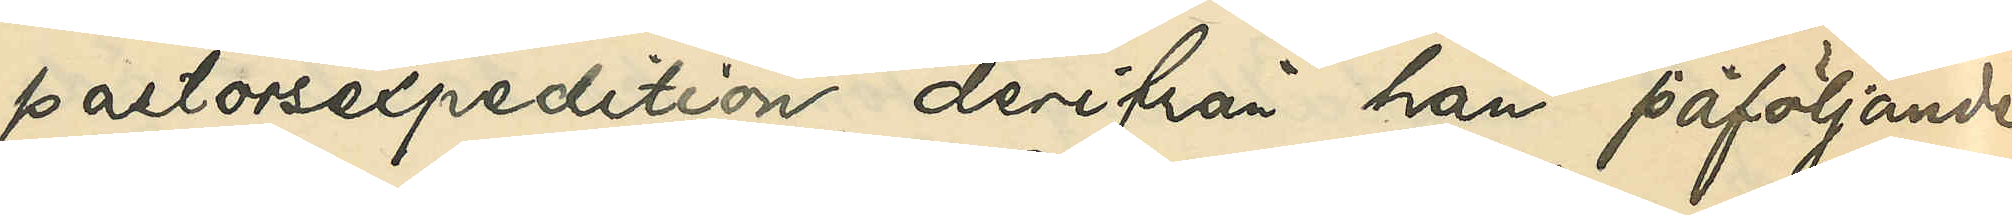pastorsexpediton, derifrån han påföljande
